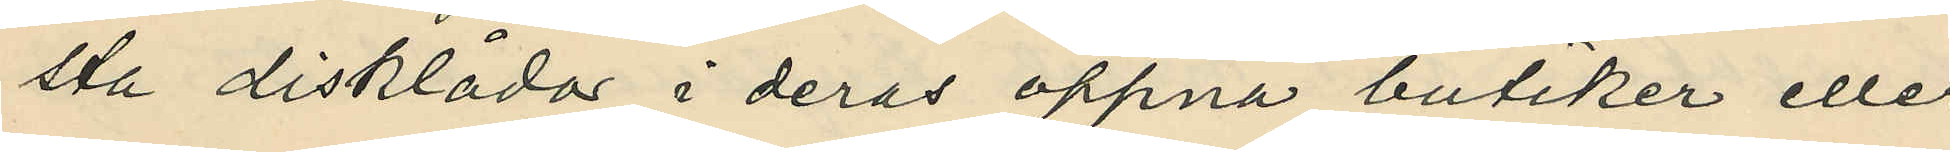sta disklådor i deras öppna butiker eller
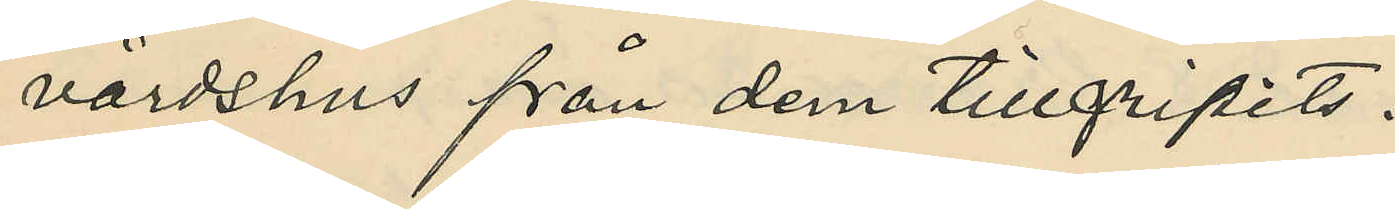värdshus från dem tillgripits:
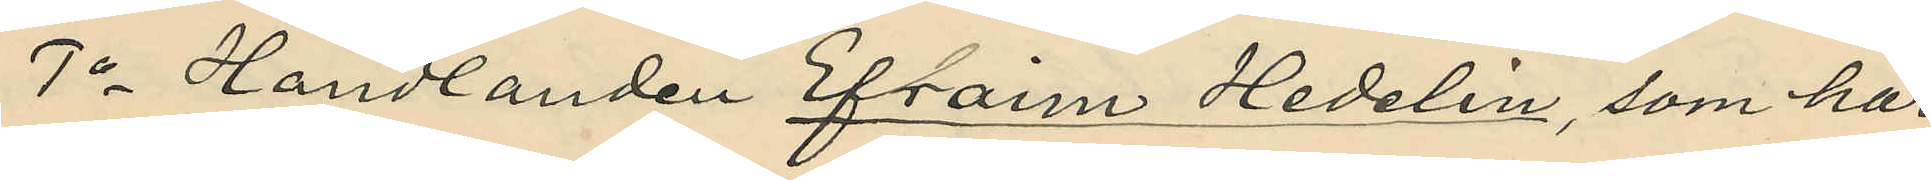1o Handlanden Efraim Hedelin, som har
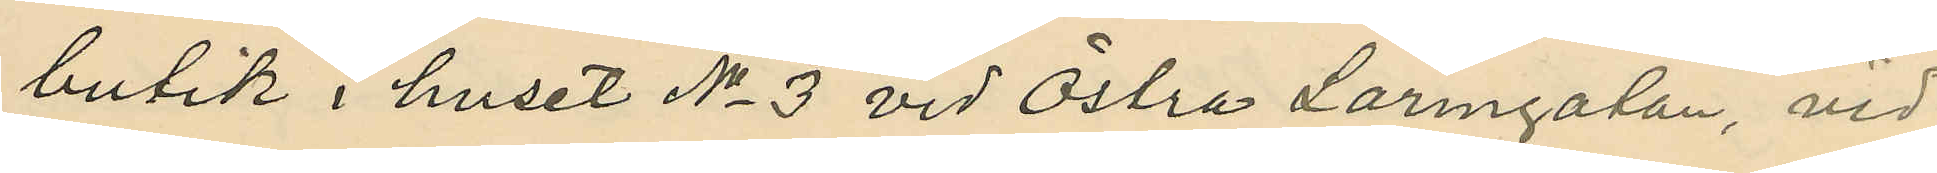butik i huset No 3 vid Östra Larmgatan, vid
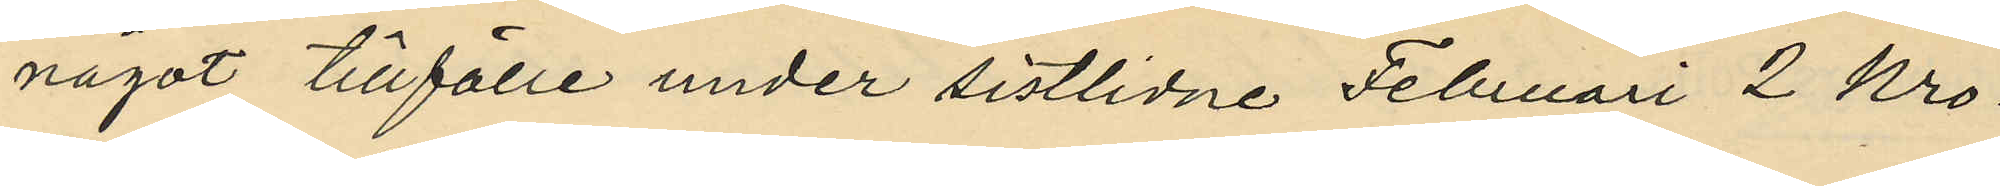något tillfälle under sistlidne Februari 2 Kro¬
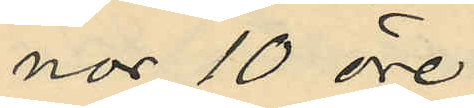nor 10 öre;
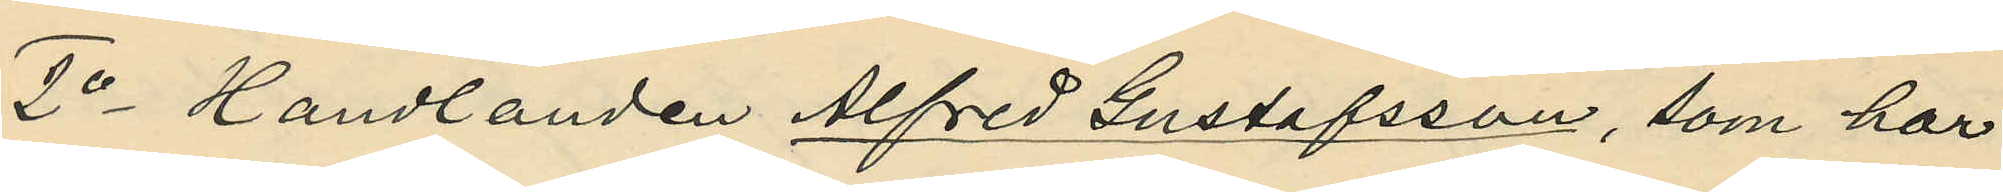2o Handlanden Alfred Gustafsson, som har
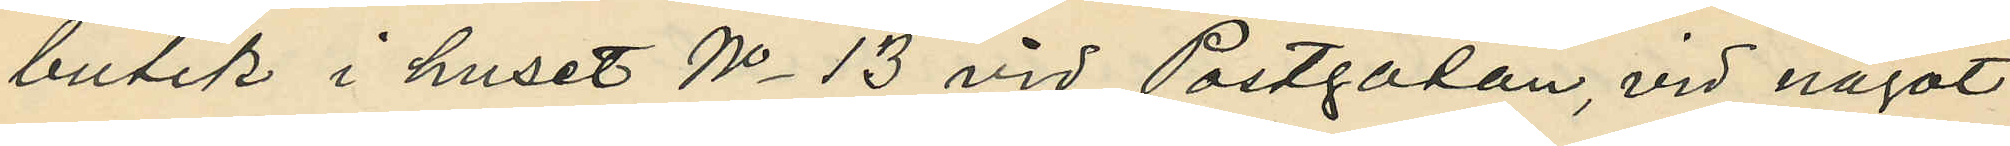butik i huset No 13 vid Postgatan, vid något
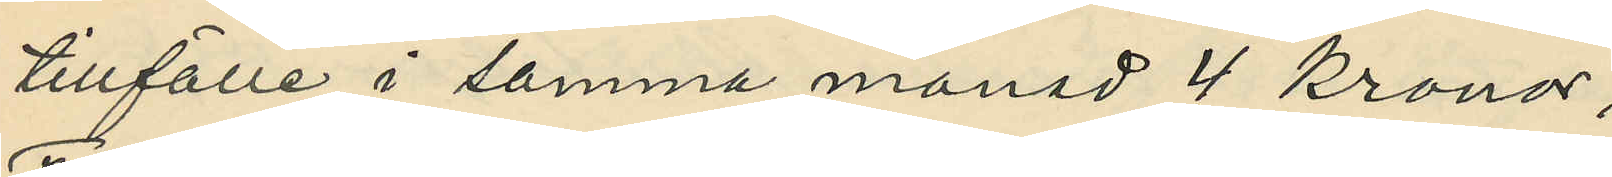tillfälle i samma månad 4 Kronor;
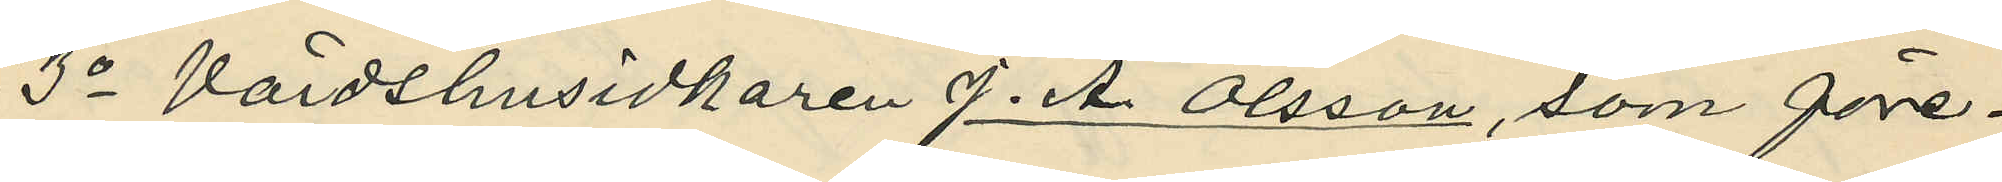3o Värdshusidkaren J. A. Olsson, som före¬ 
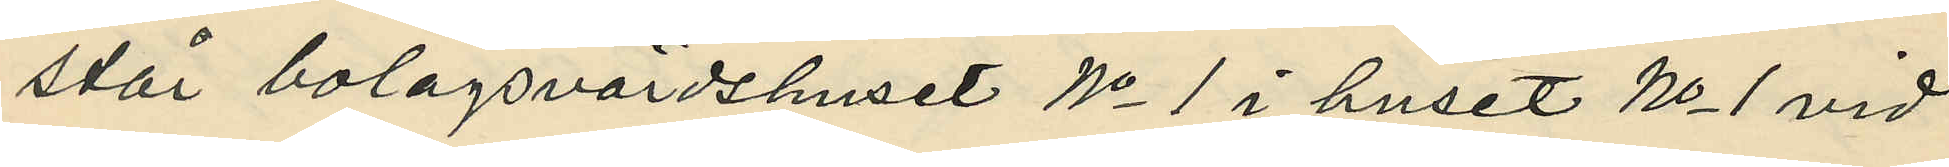står bolagsvärdshuset No 1 i huset No 1 vid
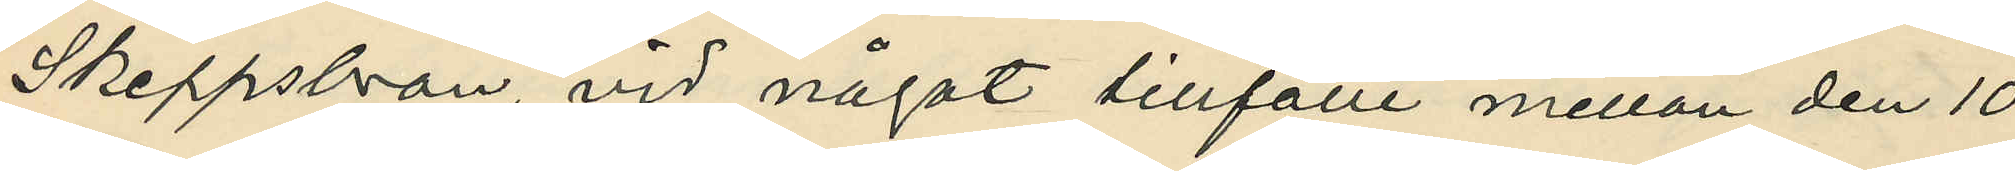Skeppsbron, vid något tillfälle mellan den 10
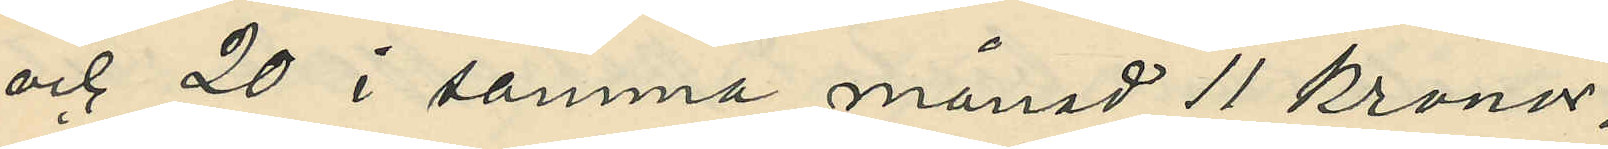och 20 i samma månad 11 Kronor;
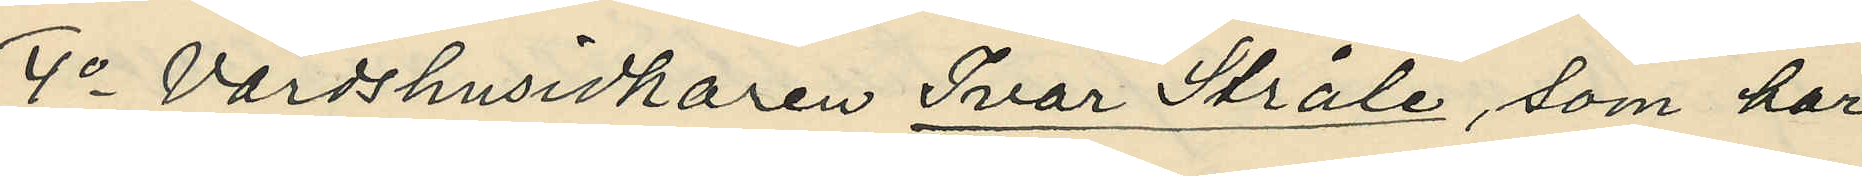4o Värdshusidkaren Ivar Stråle, som har
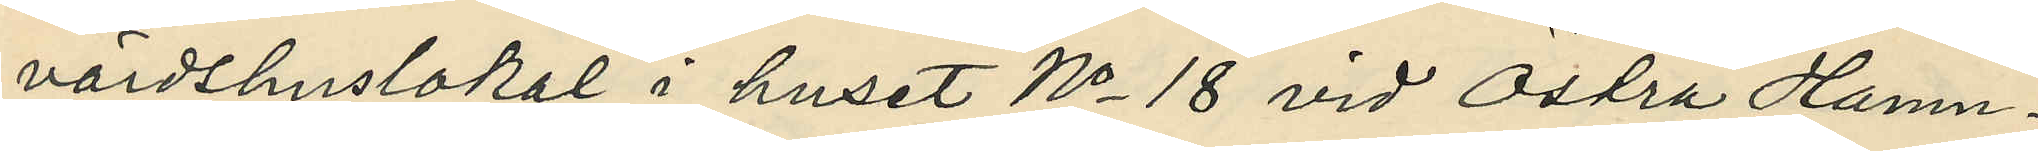värdshuslokal i huset No 18 vid Östra Hamn¬
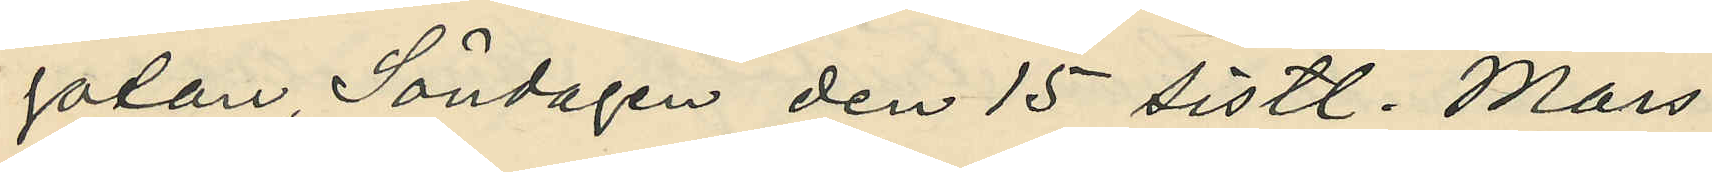gatan, Söndagen den 15 sistl. Mars
